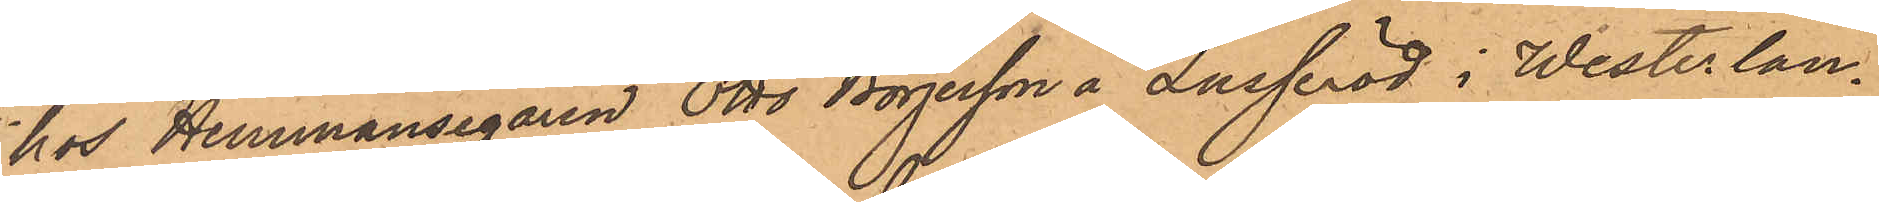hos Hemmansegaren Otto Börjesson å Lusseröd i Westerlan¬
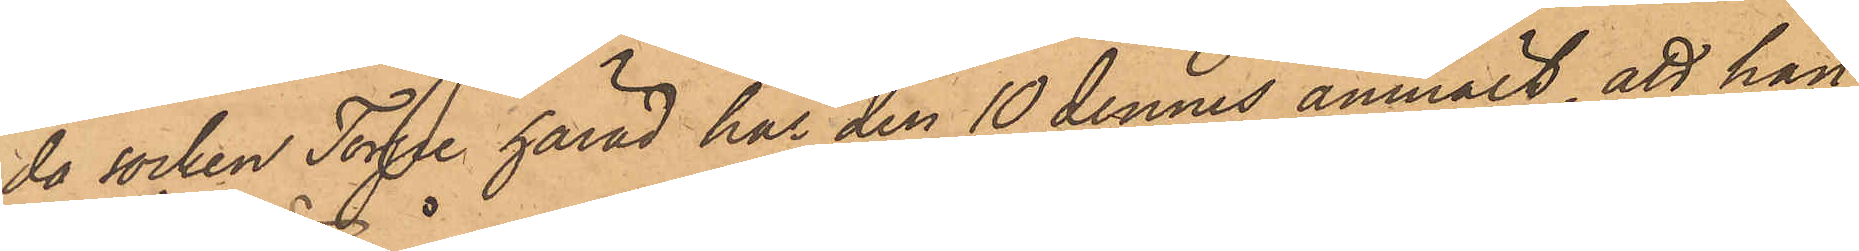da socken Torpe härad har den 10 dennes anmält, att han
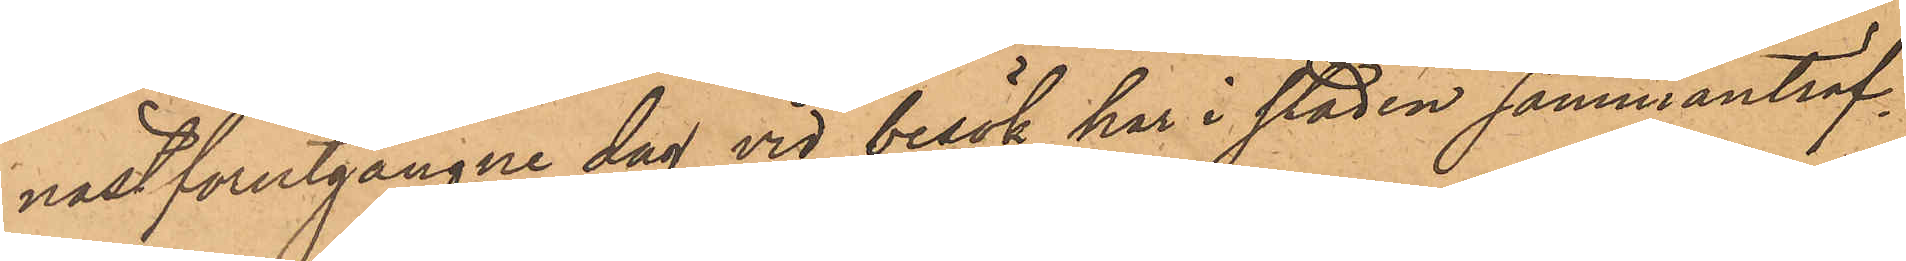nästförutgångne dag vid besök har i staden sammanträf¬
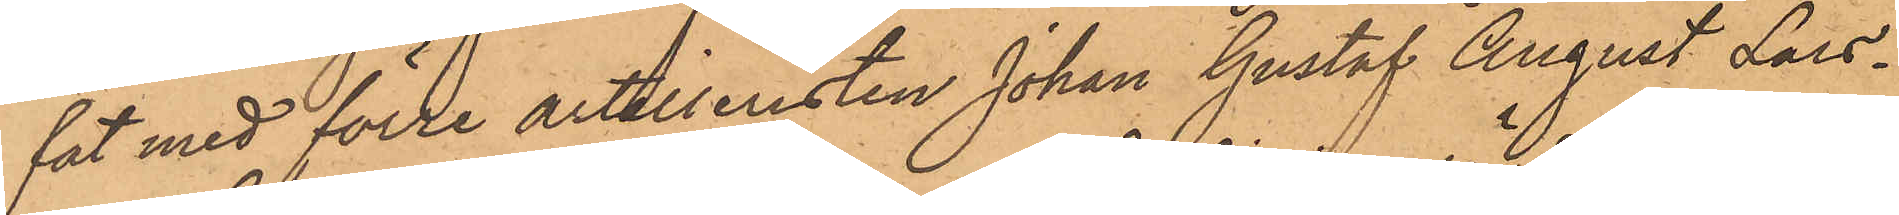fat med förre artilleristen Johan Gustaf August Lars¬
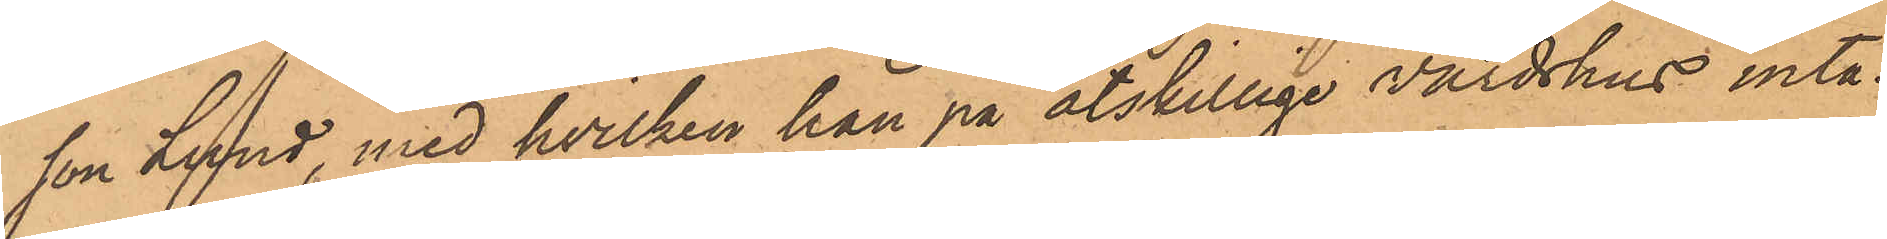son Lund, med hvilken han på åtskillige värdshus inta¬
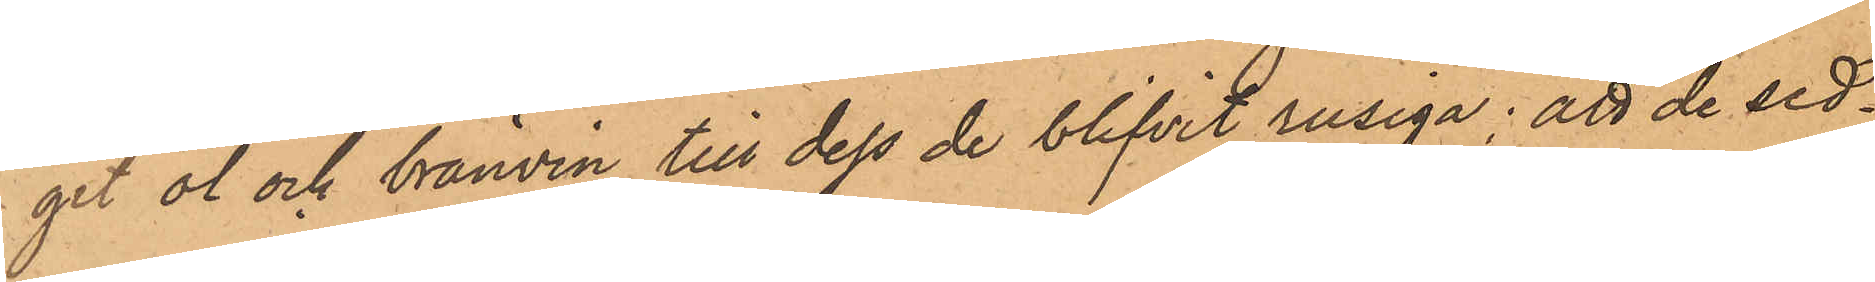git öl och brännvin till dess de blifvit rusiga; att de sed¬
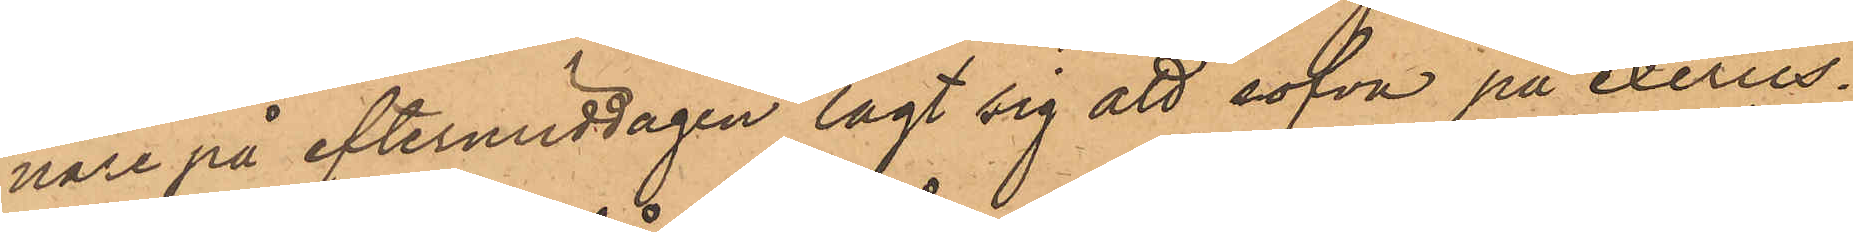nare på eftermiddagen lagt sig att sofva på exercis¬
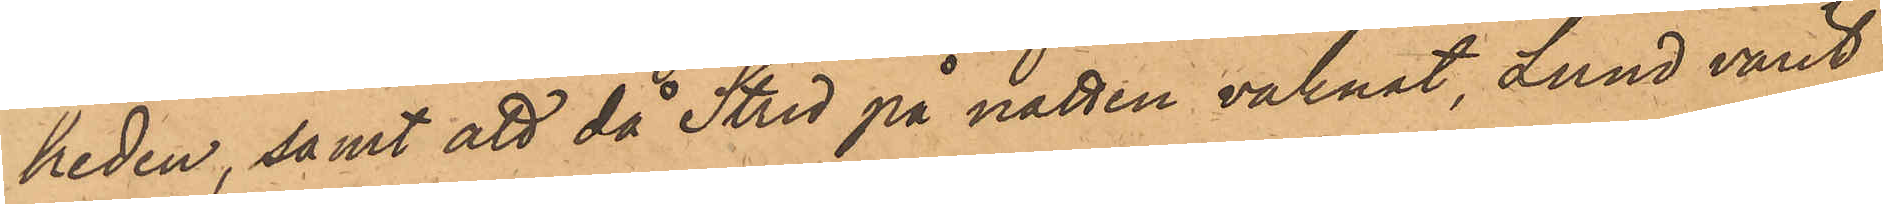heden; samt att då Strid på natten vaknat, Lund varit
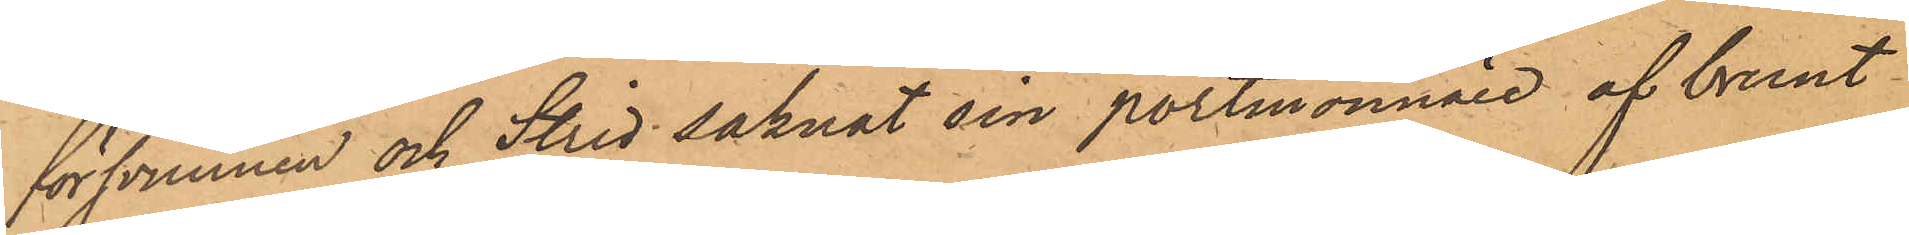försvunnen och Strid saknat sin portmonnaie af brunt
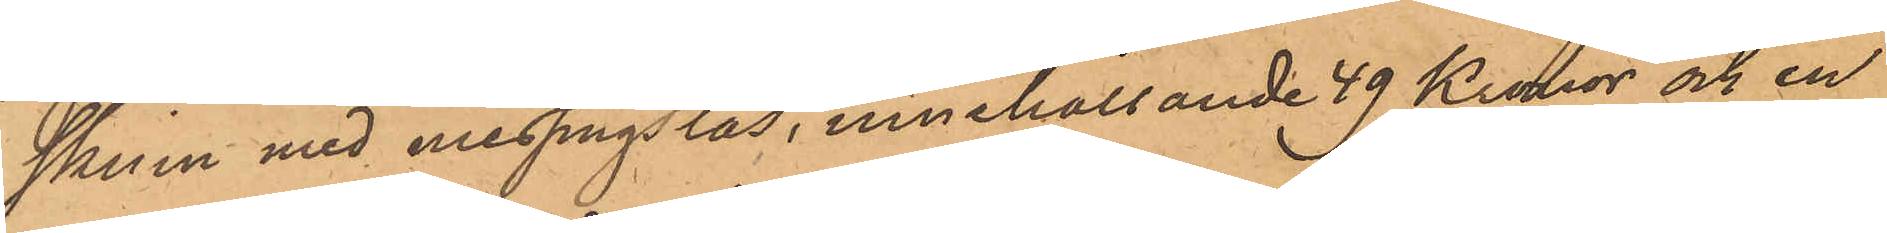skinn med messingslås, innehållande 49 Kronor och en
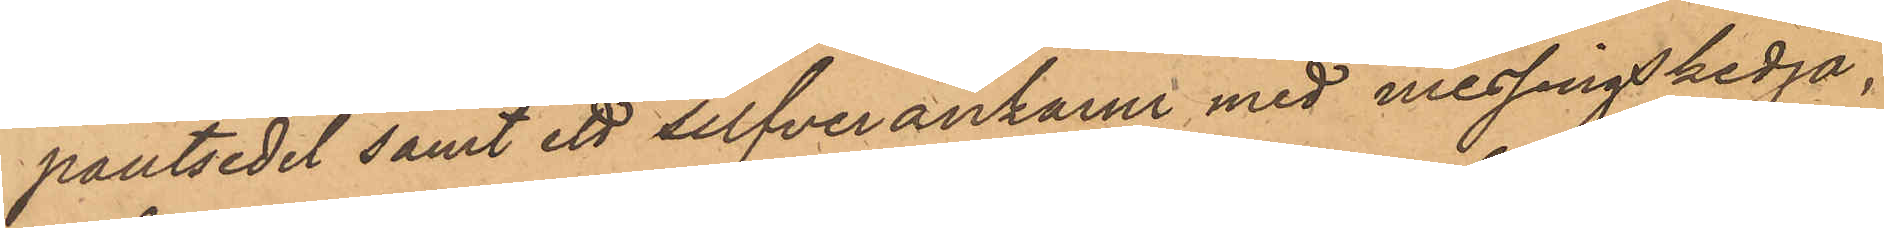pantsedel samt ett silfverankarur med messingskedja,
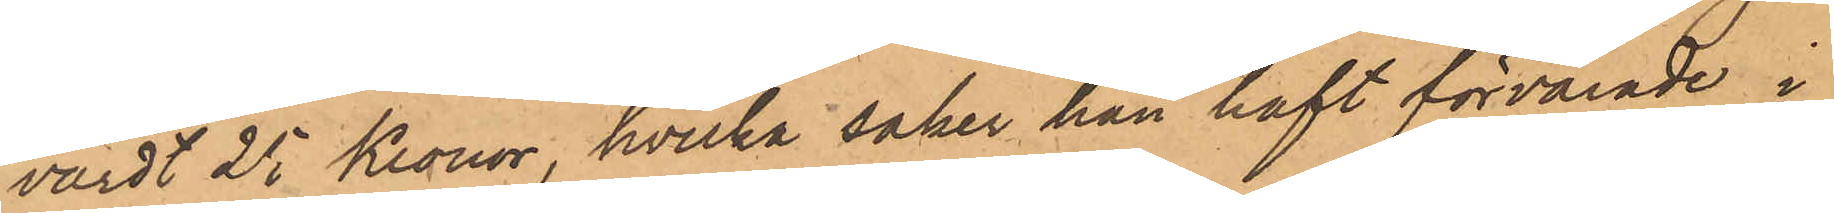värdt 25 Kronor, hvilka saker han haft förvarade i
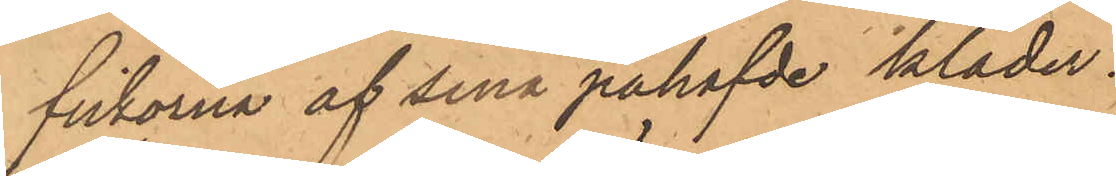fickorna af sina påhafvde kläder.
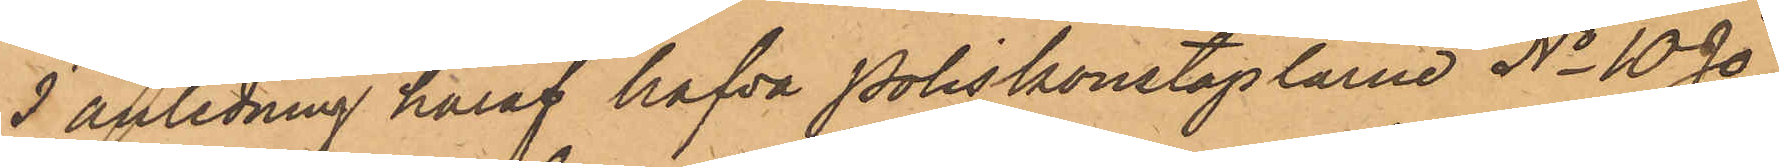I anledning häraf hafva Poliskonstaplarne No 10 Jo¬
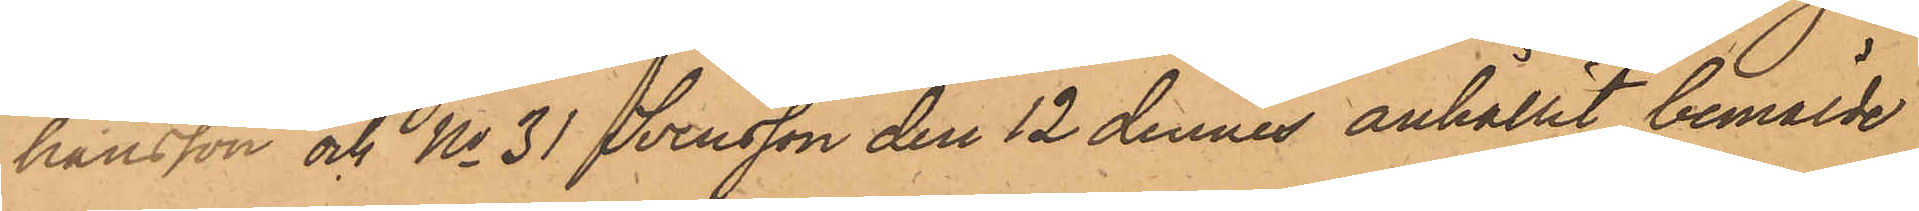hansson och No 31 Svensson den 12 dennes anhållit bemälde
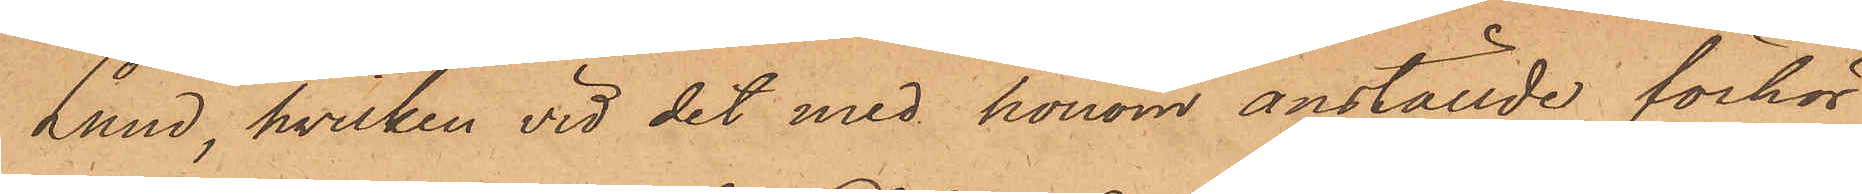Lund, hvilken vid det med honom anställde förhör
